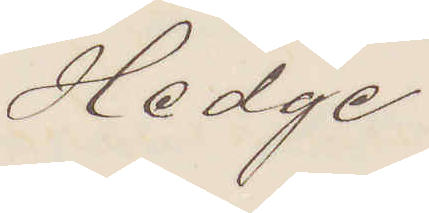Hedge
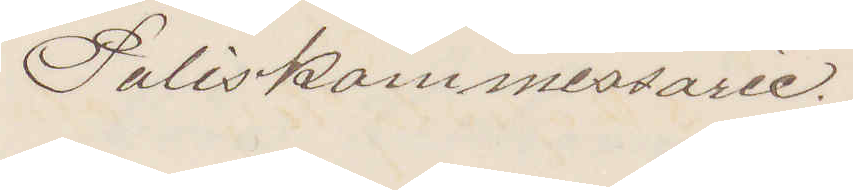Poliskommissarie.
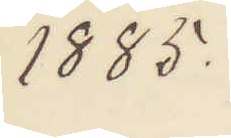1885.
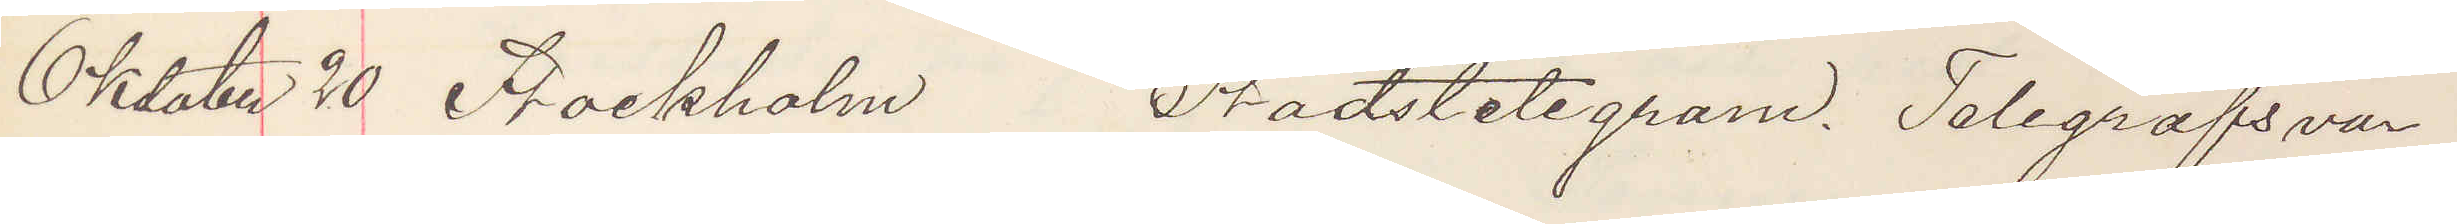Oktober 20 Stockholm Stadstetegram. Telegrafsvar
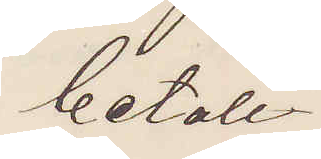betalt
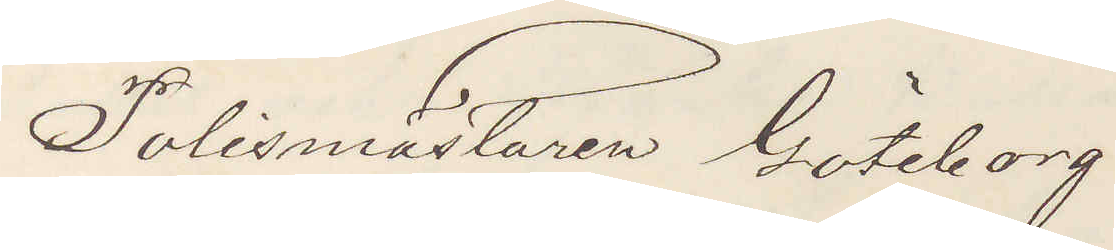Polismästaren Göteborg
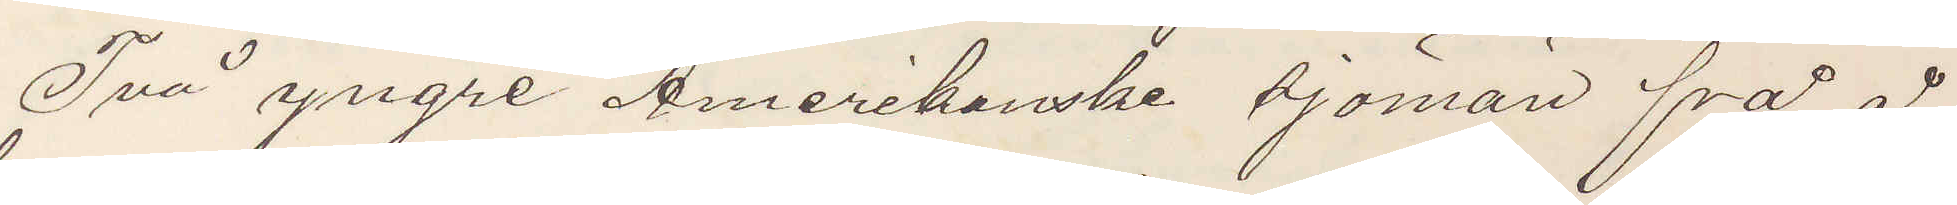Två yngre Amerikanske sjöman frå å
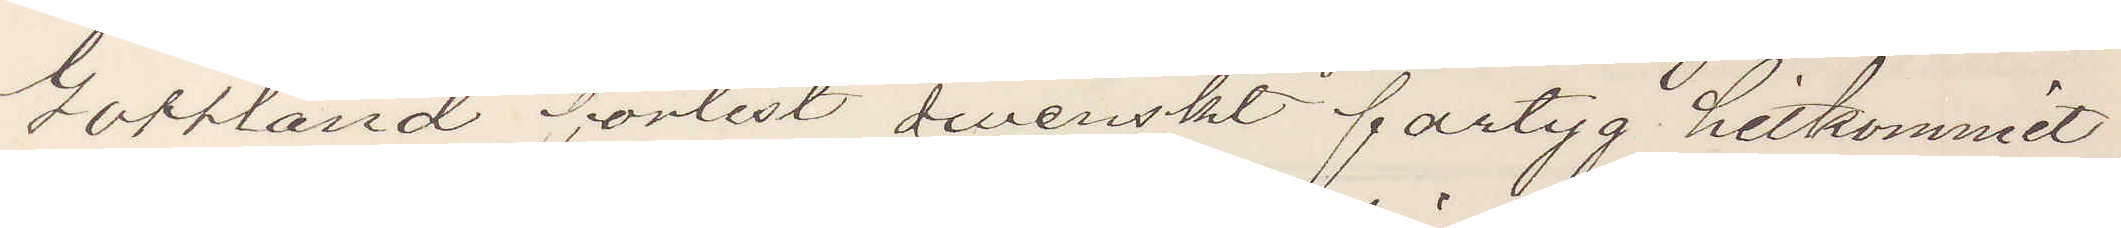Gotland förlist danskt fartyg hitkommit
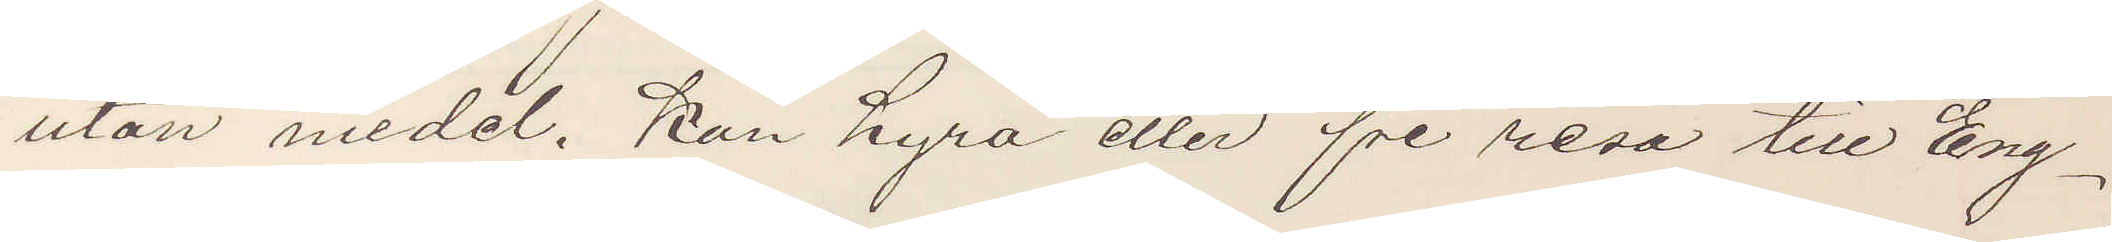utan medel, kan hyra eller fri resa till Eng¬
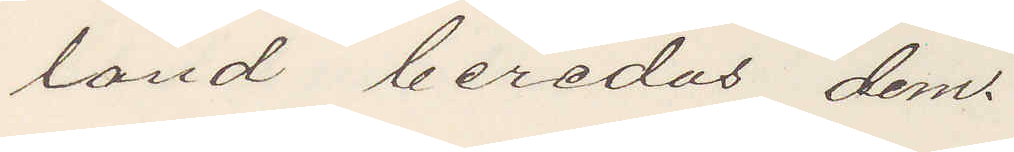land beredas dem.
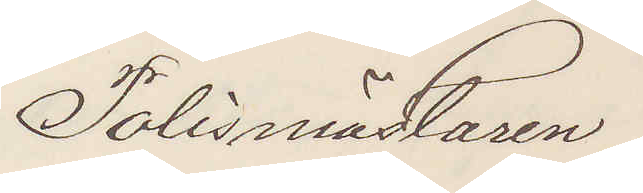Polismästaren
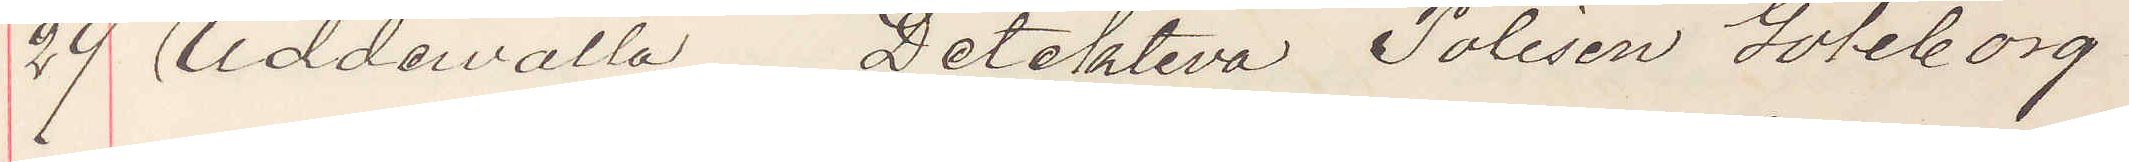29 Uddevalla Detektiva Polisen Göteborg
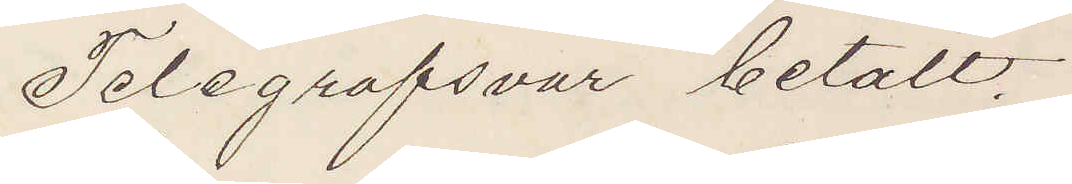Telegrafsvar betalt.
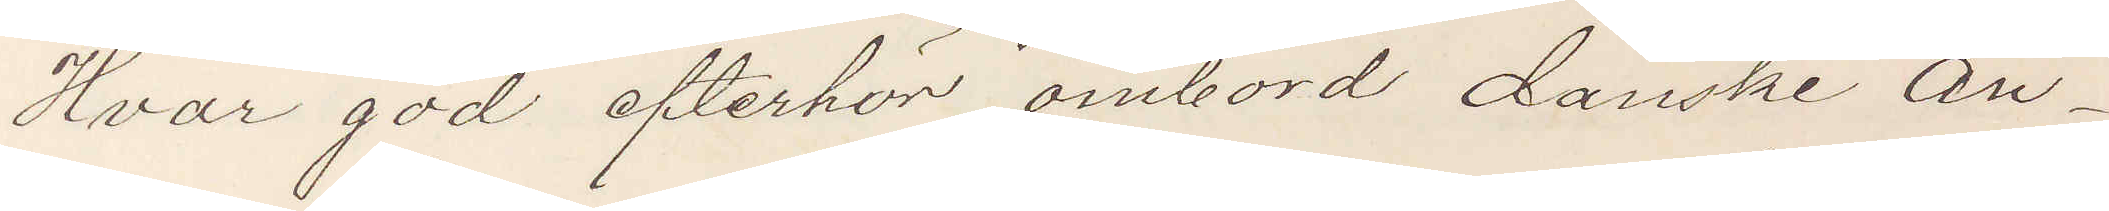Hvar god efterhör ombord danske ån¬
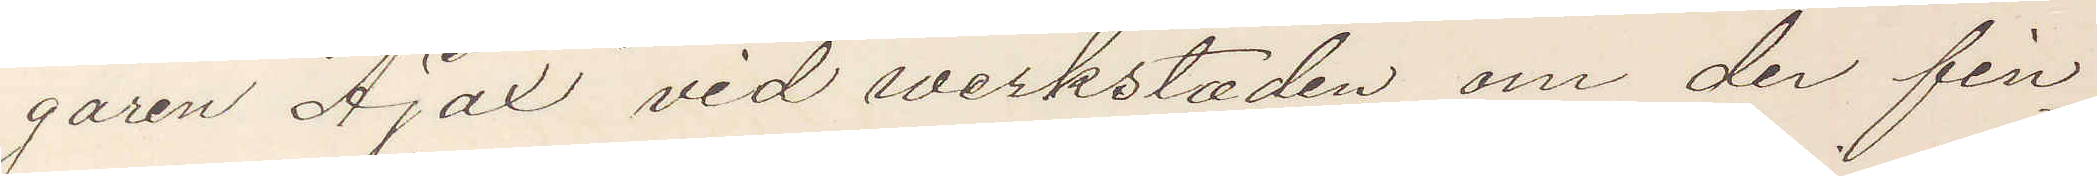garen Ajax vid werkstaden om der fin¬
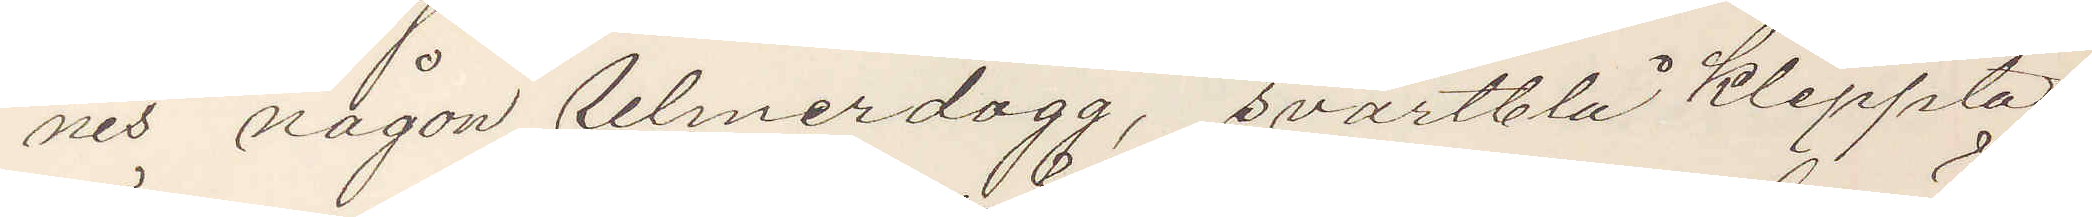nes någon Ulmerdogg, svartblå klippta
